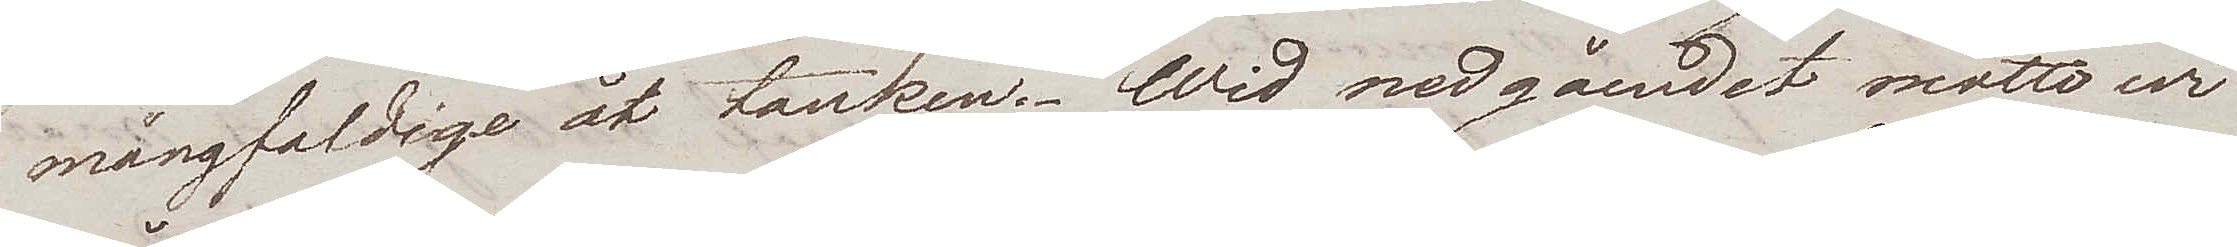mångfaldige åt tanken. Wid nedgåendet mötte wi
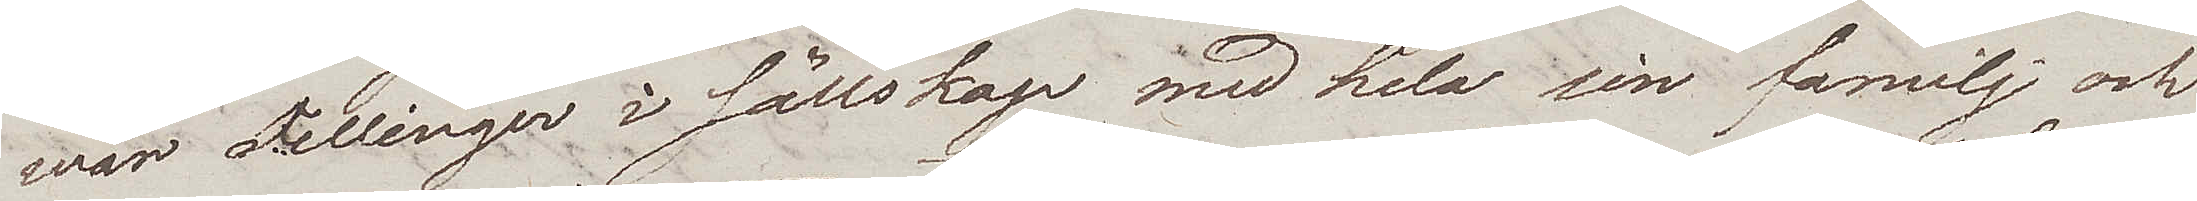wår Fellinger i sällskap med hela sin familj och
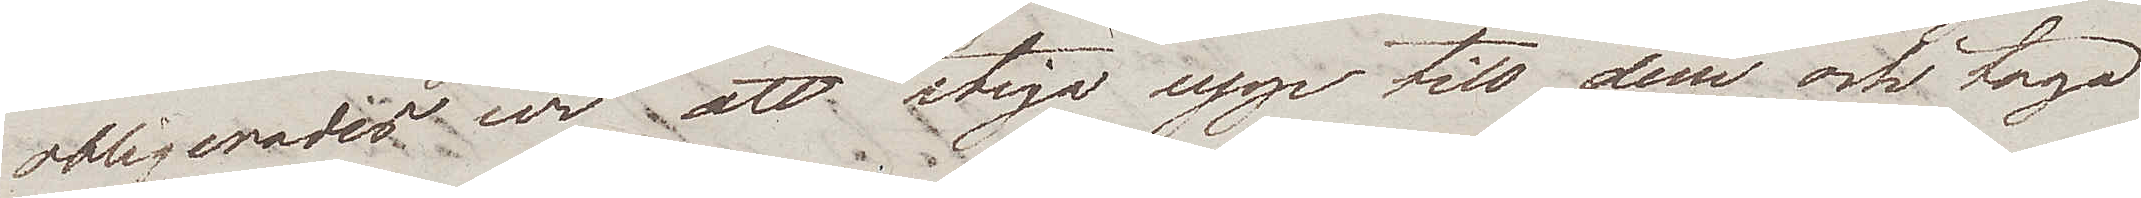obligerades wi att stiga upp till dem och taga
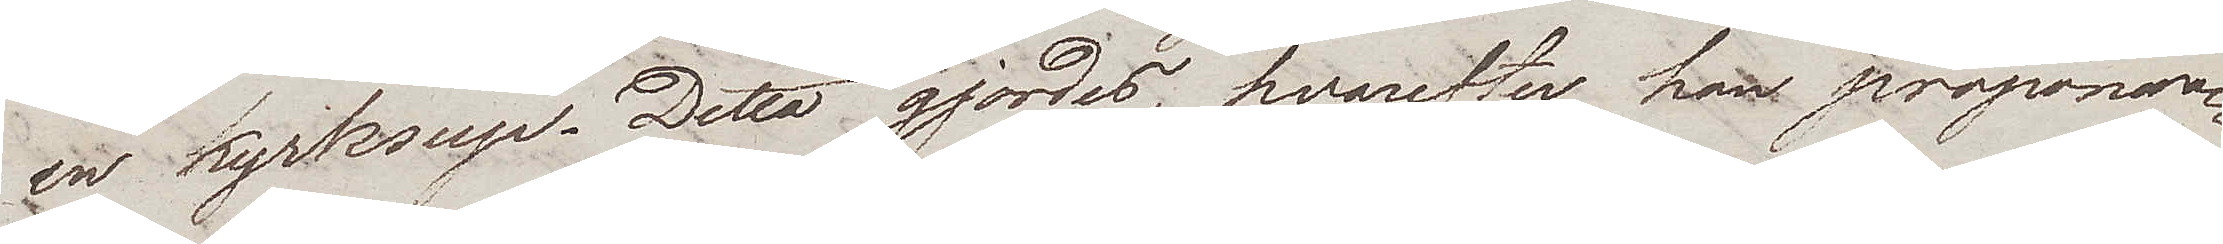en kyrksup. Detta gjordes, hvarefter han proponera¬
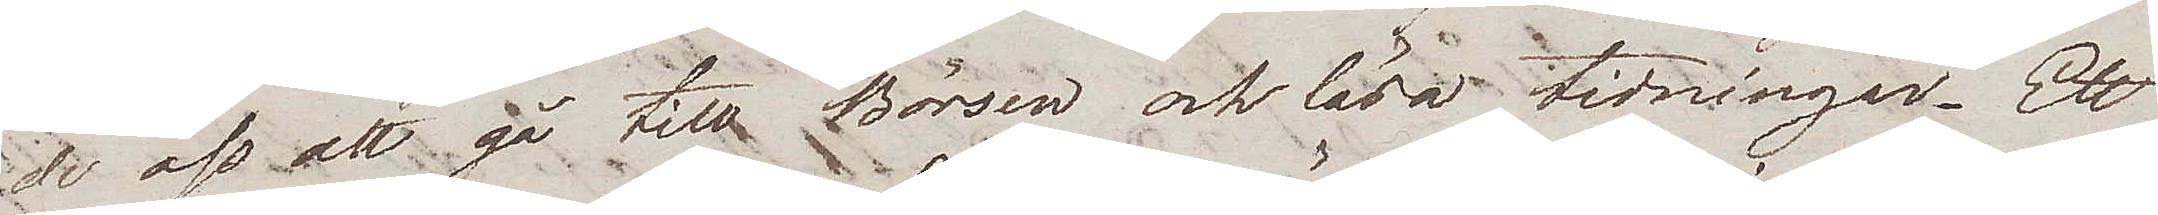de oss att gå till Börsen och läsa tidningar. Ett
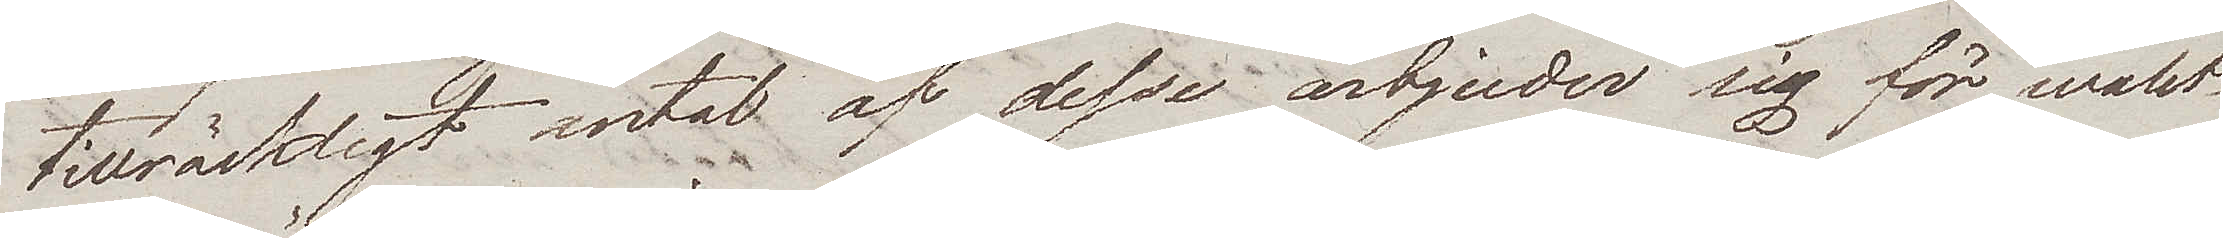tillräckligt antal af desse ärbjuder sig för walet.
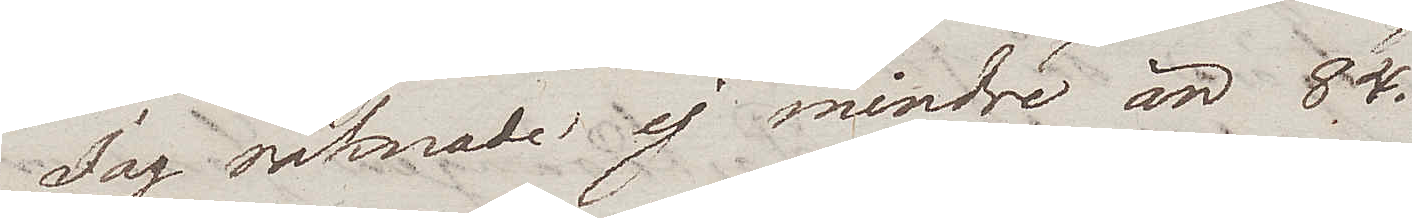Jag räknade ej mindre än 84.
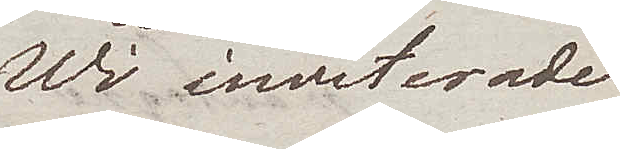Wi inviterade
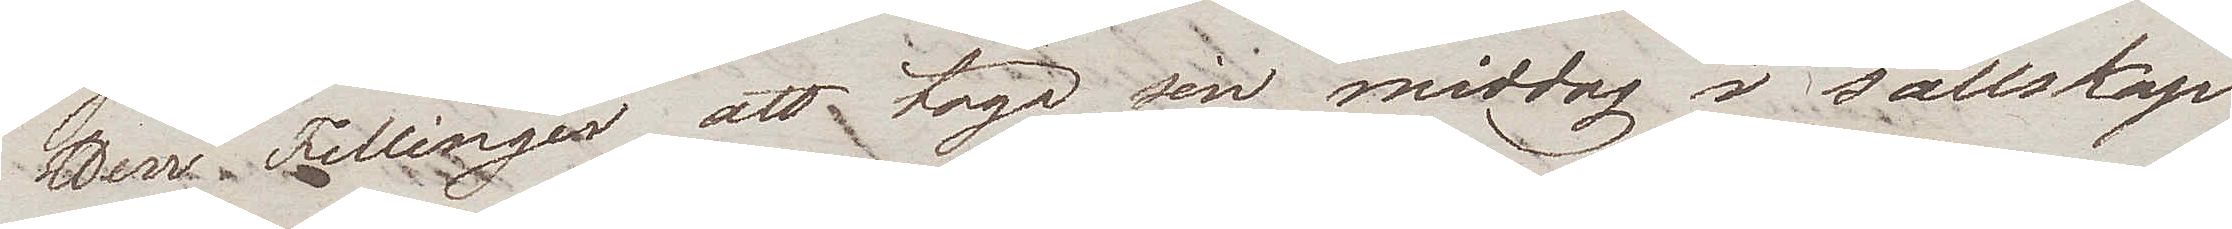Herr Fellinger att taga sin middag i sällskap
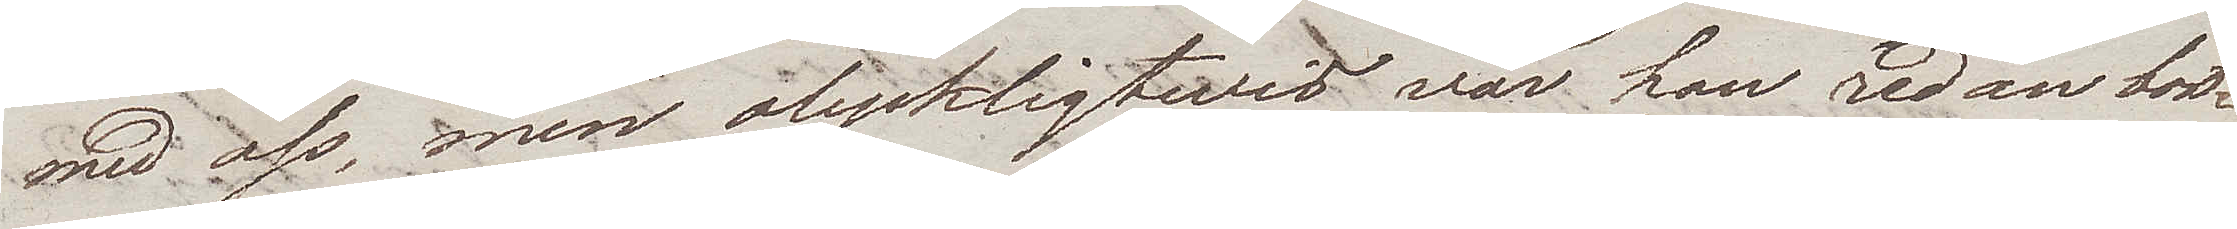med oss, men olyckligtwis var han redan bort¬
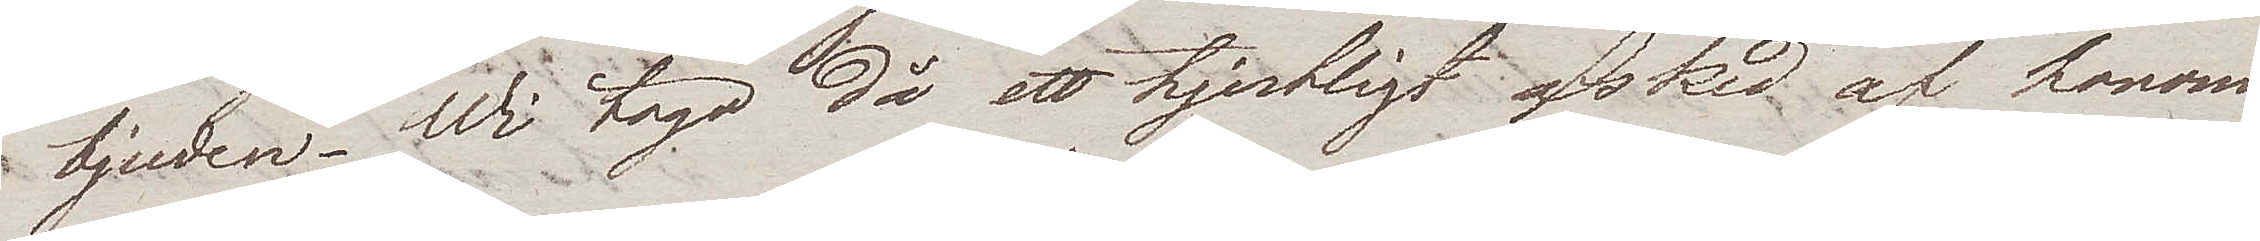bjuden. Wi togo då ett hjertligt afsked af honom
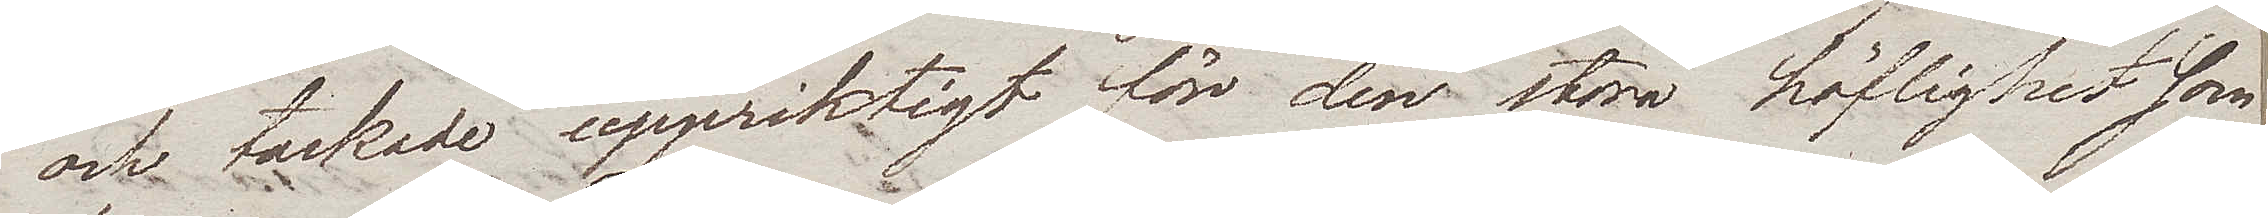och tackade uppriktigt för den stora höflighet som
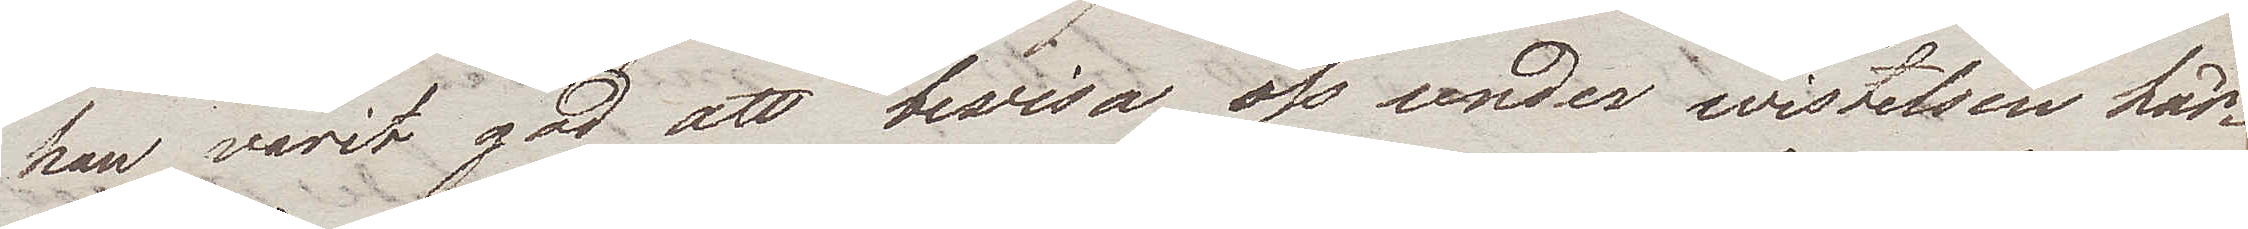han varit god att bevisa oss under wistelsen här¬
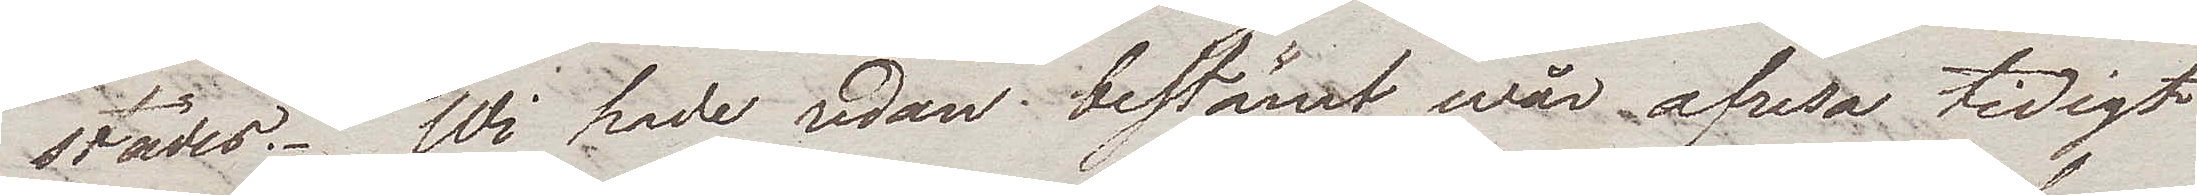städes. Wi hade redan bestämt wår afresa tidigt
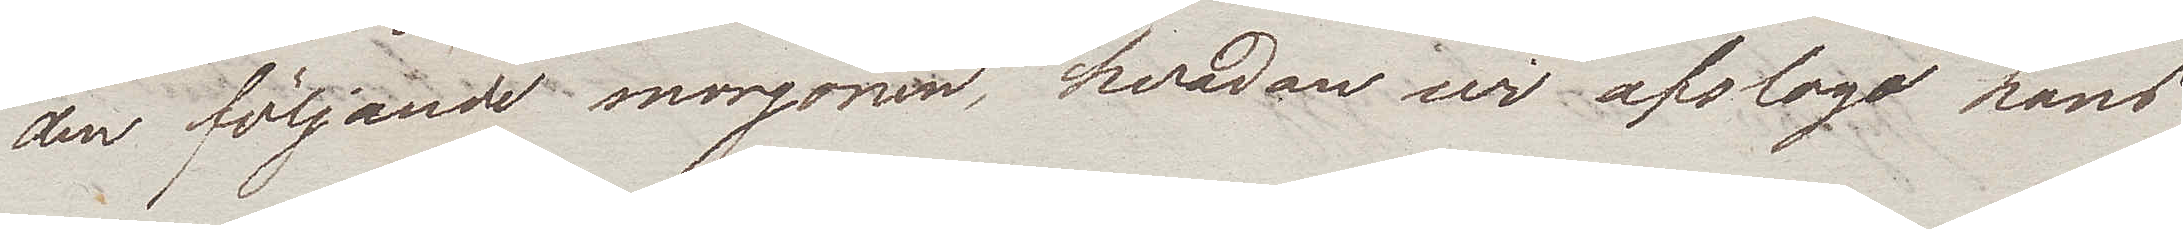den följande morgonen, hvadan wi afslogo hans
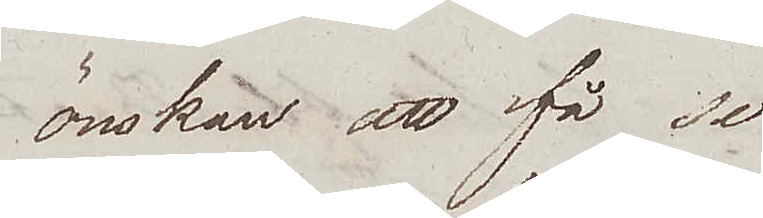önskan att få se
